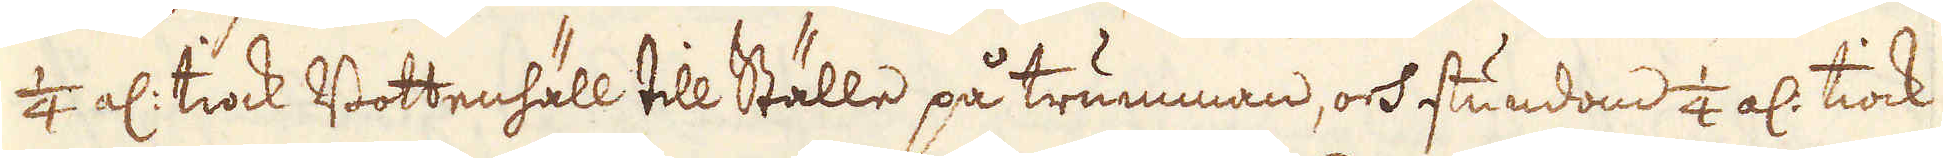1/4 al: tiock Bottenhäll till Ställe på trumman, och stundom 1/4 al: tiock
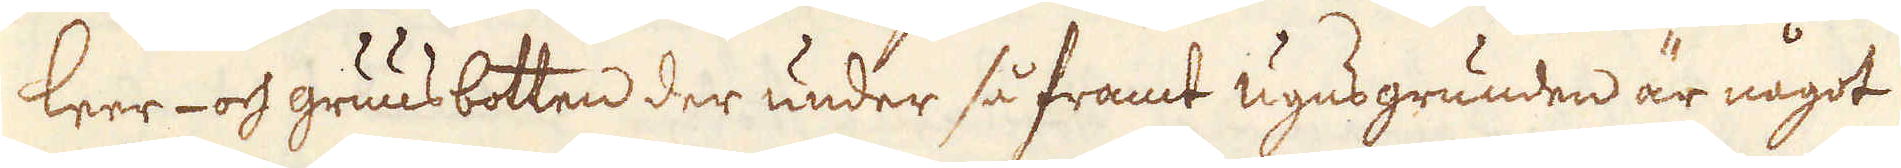leer- och gruusbotten der under så framt ugns grunden är något
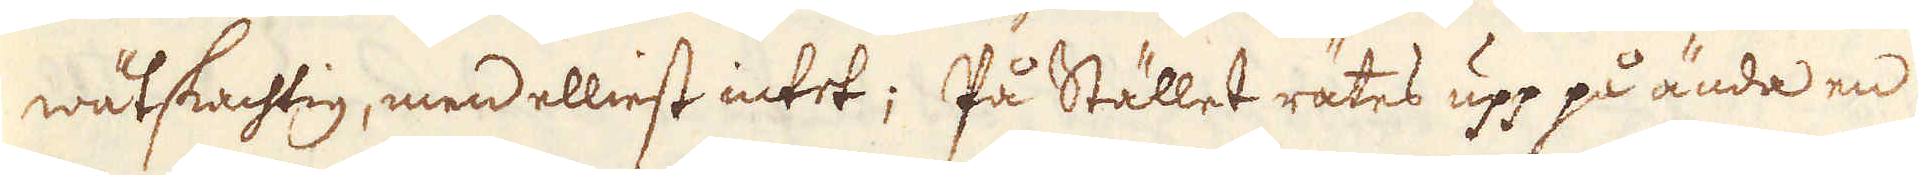wätskachtig, men elliest intet; På Stället rätes upp på ända en
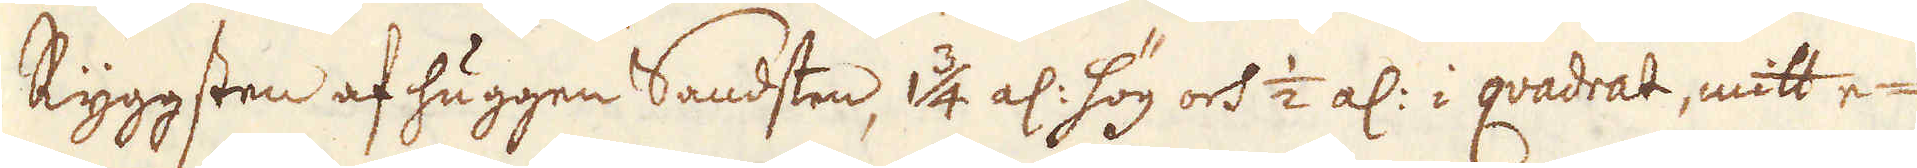Ryggsten af huggen Sandsten, 1 3/4 al: hög och 1/2 al: i qvadrat, mitt e-
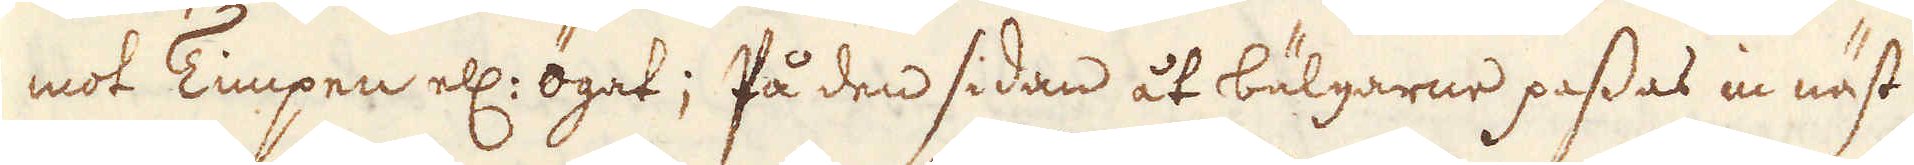mot Timpen el: ögat; På den sidan åt bälgarne passas in näst
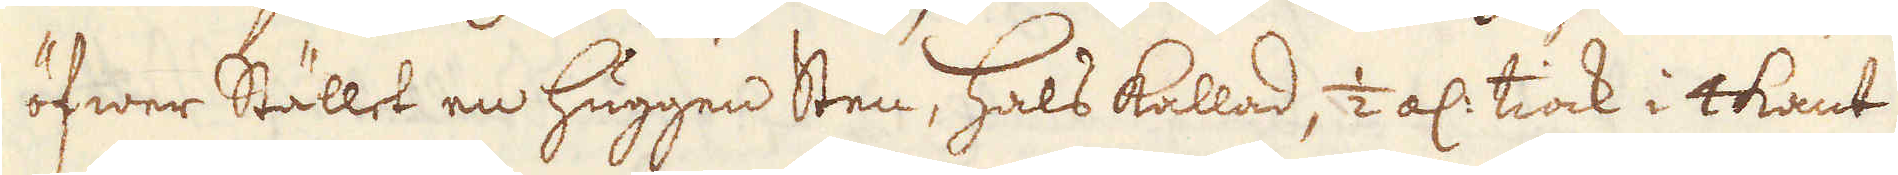öfwer Stället en huggen Sten, hals kallad, 1/2 al: tiock i 4kant
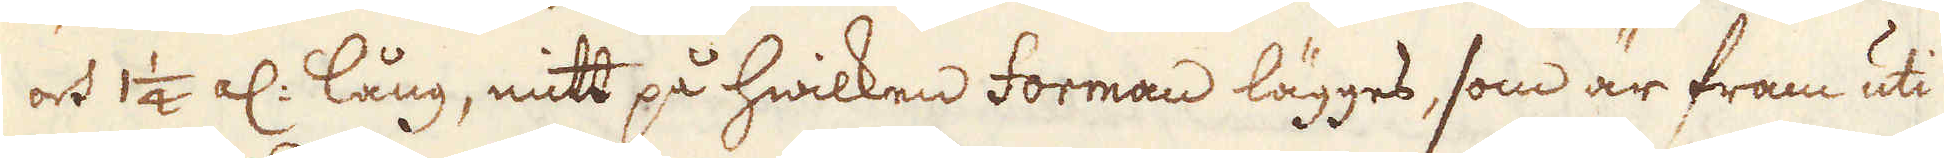och 1 1/4 al: lång, mitt på hwilken forman lägges, som är fram uti
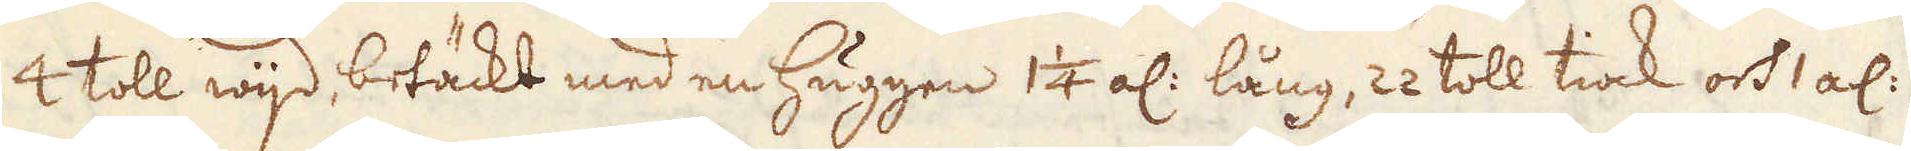4 toll wijd, betäckt med en Huggen 1 1/4 al: lång, 22 toll tiock och 1 al:
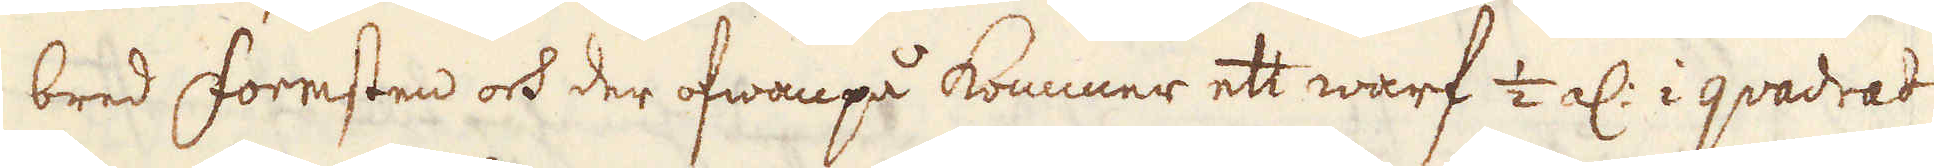bred Formsten och der ofwanpå kommer ett warf 1/2 al: i qvadrat
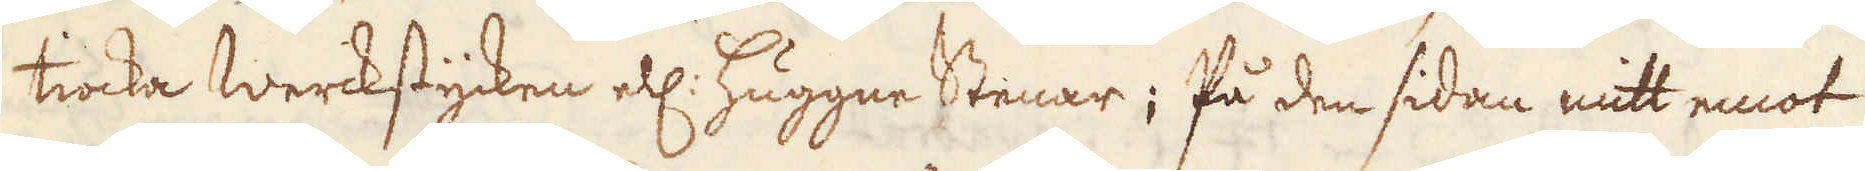tiocka werckstycken ell: Huggne Stenar; På den sidan mitt emot
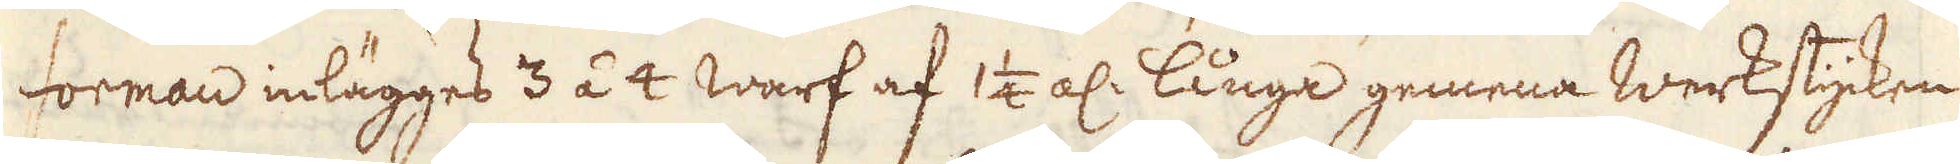forman inlägges 3 á 4 Warf af 1 1/4 al: långa gemena werkstycken
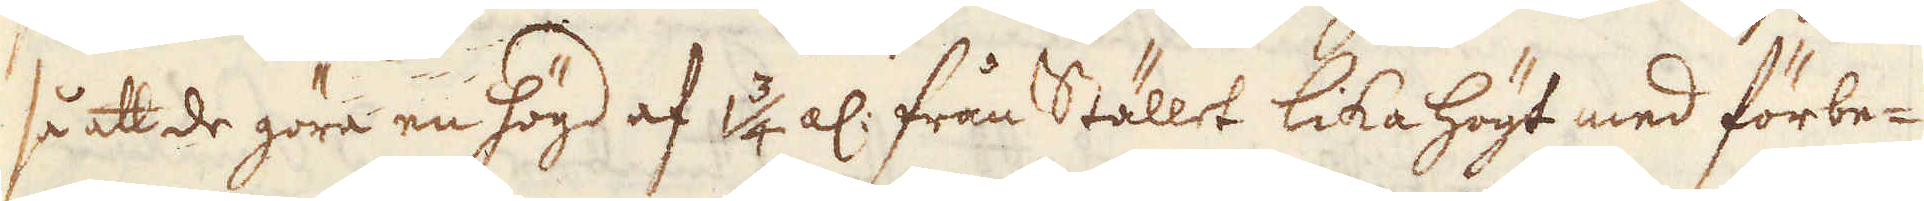så att de göra en högd af 1 3/4 al: från Stället lika högt med förbe-
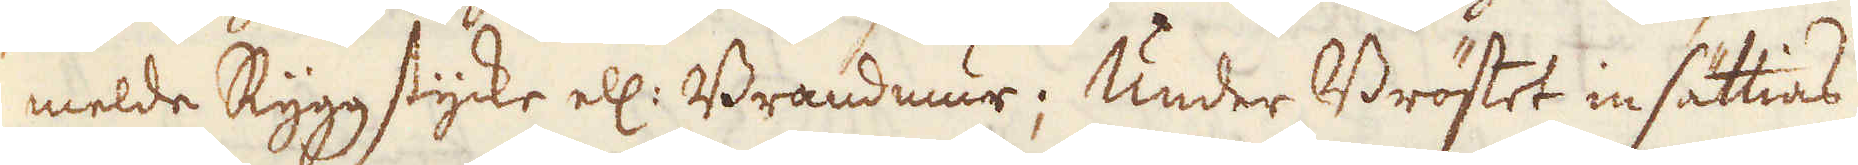melde Ryggstycke ell: Brandmur; Under Bröstet insättias
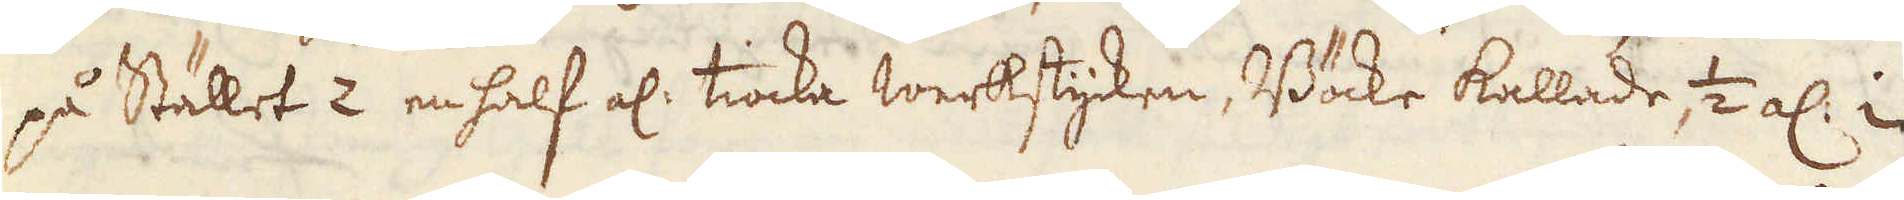på Stället 2 en half el: tiocka werkstycken, Böcke kallade 1/2 al: i
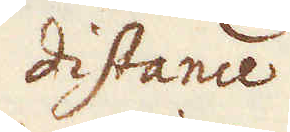distance
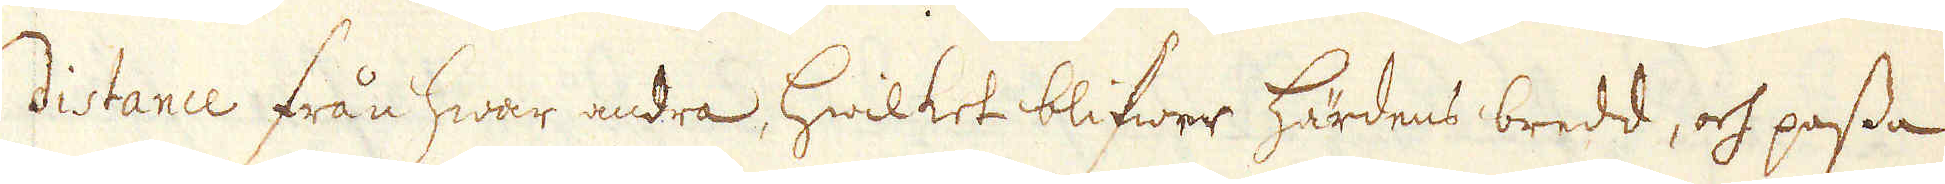distance från hwar andra, hwilket blifwer härdens bredd, och passa
